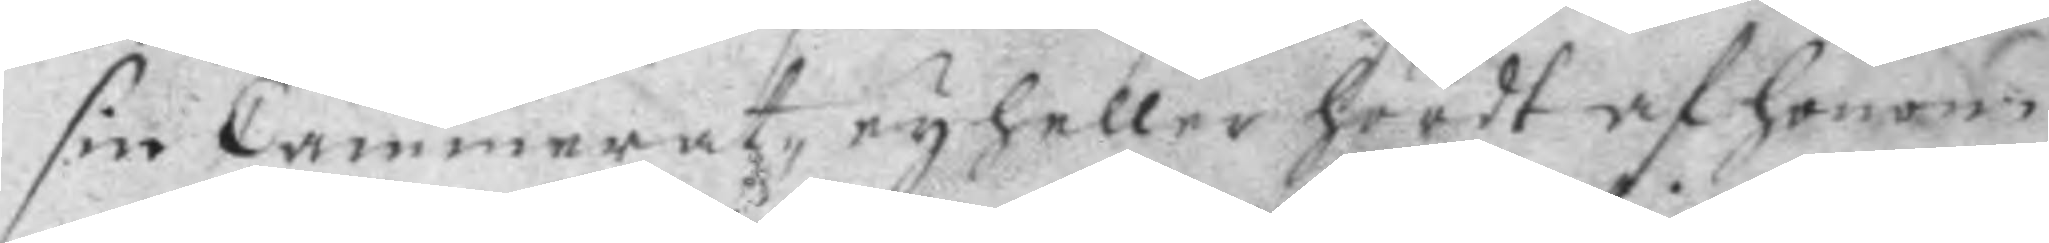sin Cammerat, ey heller hördt af honom
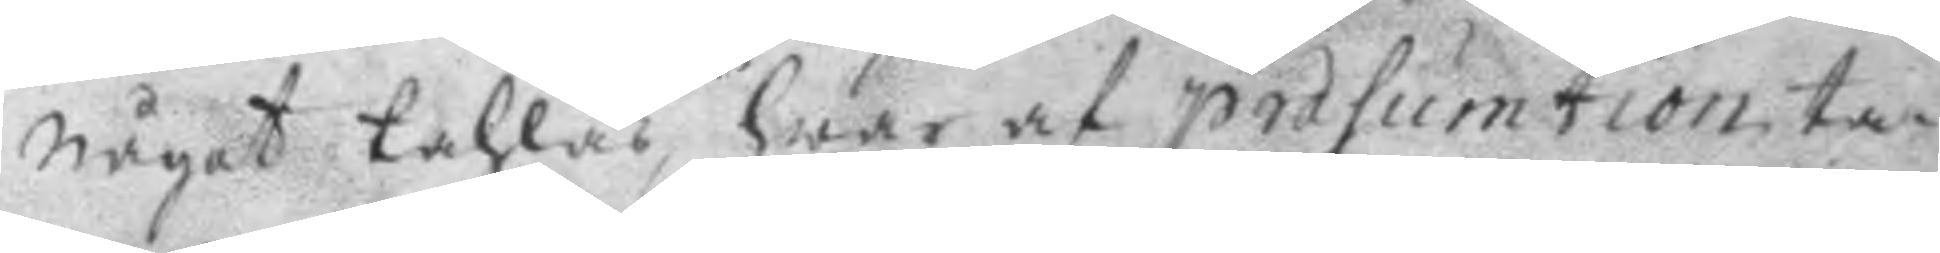något tahlas, hwar af præsumtion ta¬
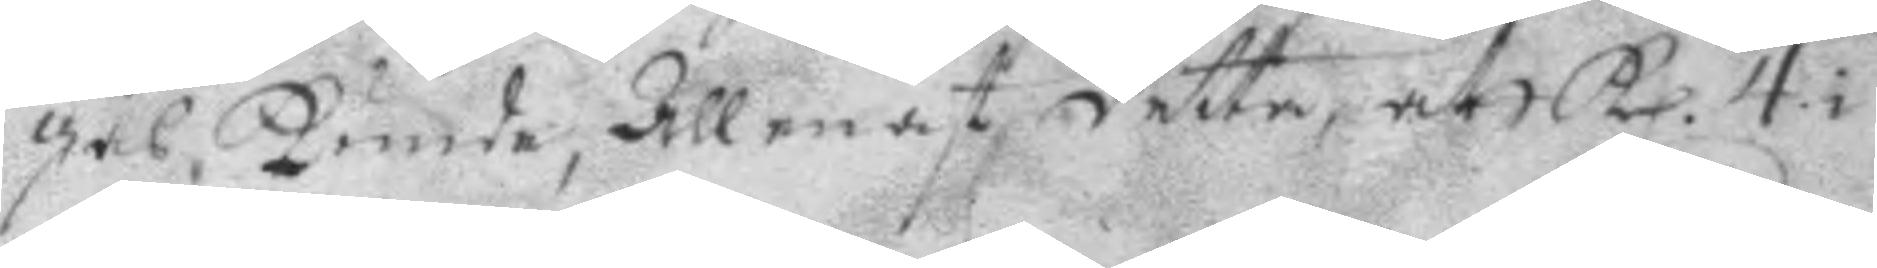gas, kunde, allenast detta, att kl. 4 i
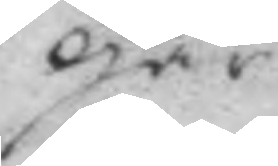går
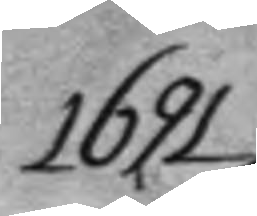1691
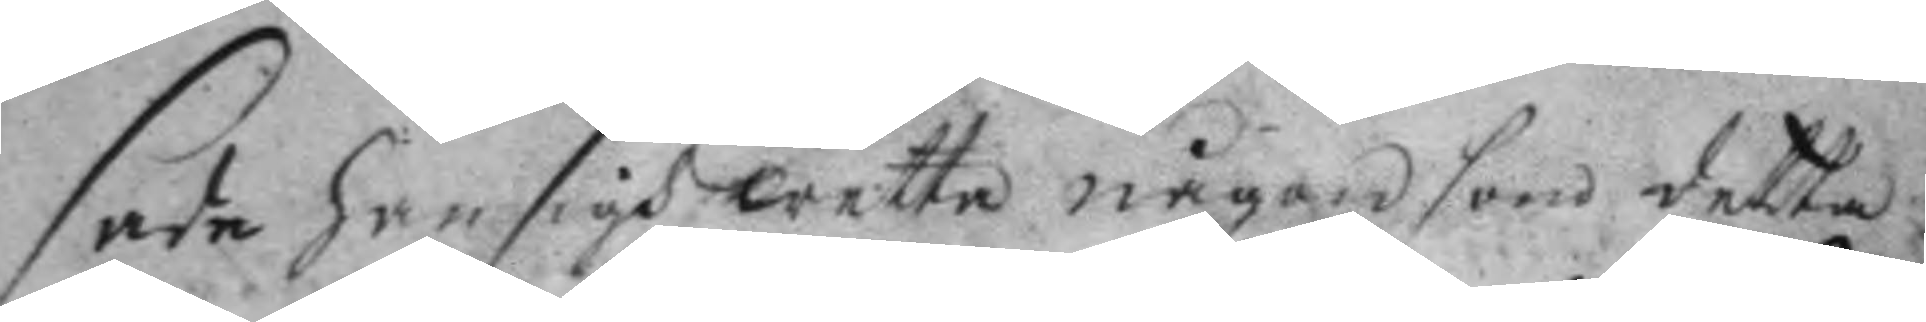sade han sigh wetta någon som detta
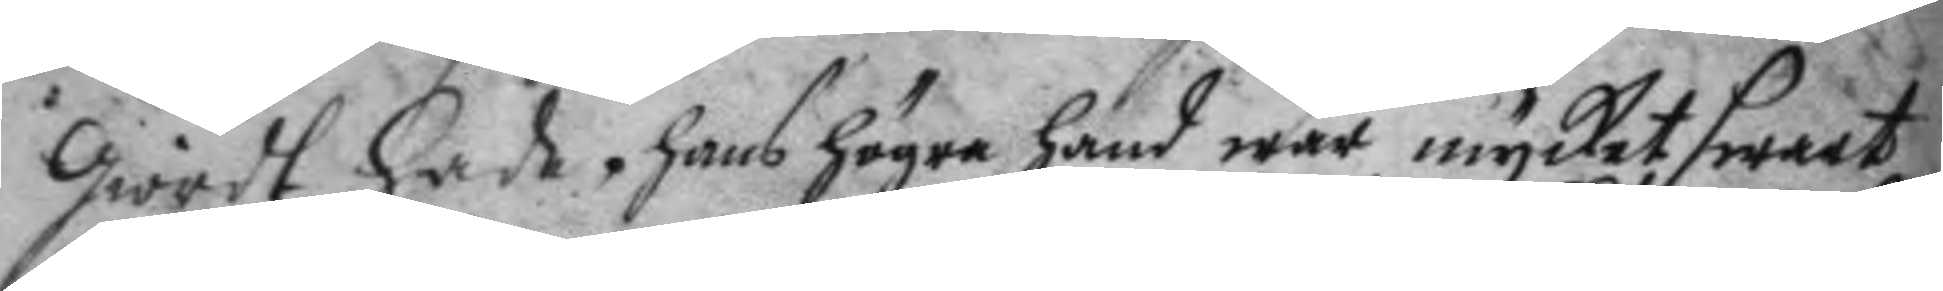giordt hade. hans högra hans war mycket swart
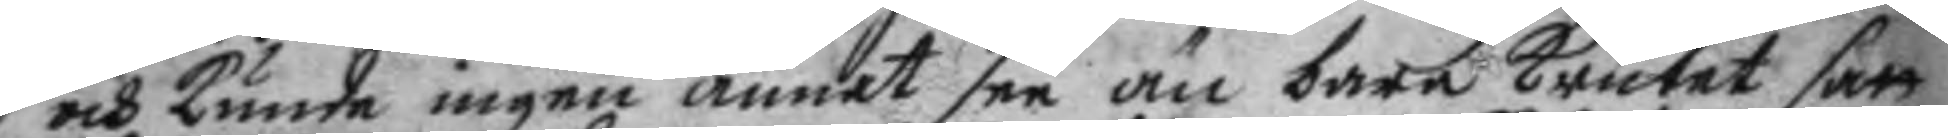och kunde ingen annat see än bara krutet satt
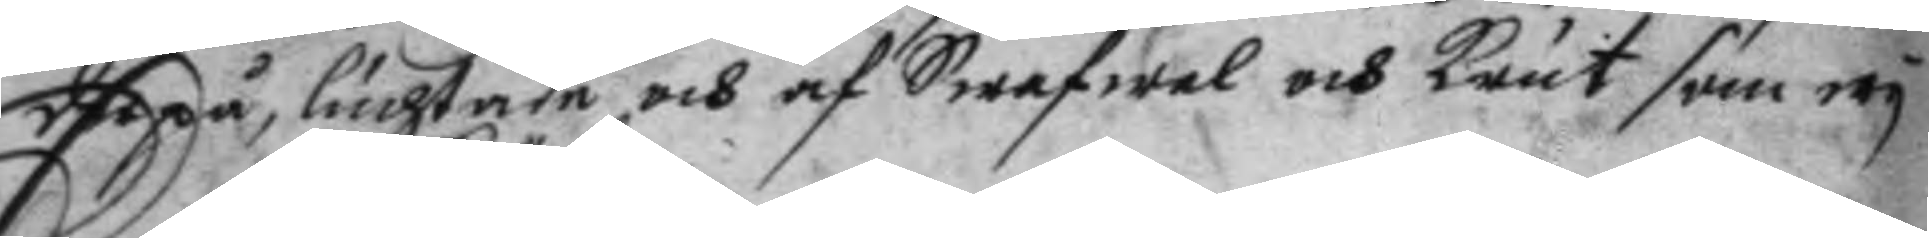derpå, luchtade och af Swafwel och krut som eey
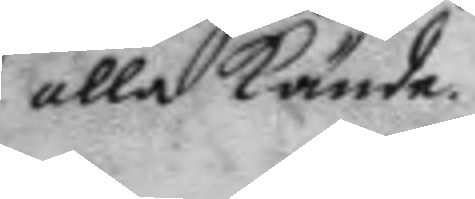alla kände.
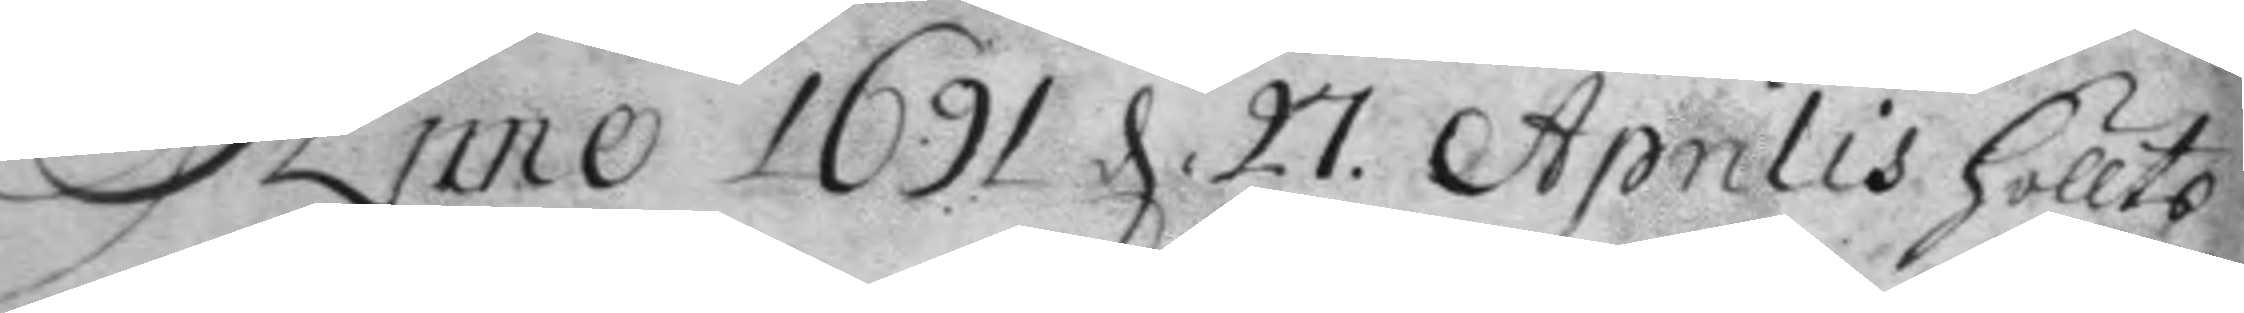Anno 1691 d. 27 Aprilis höllts
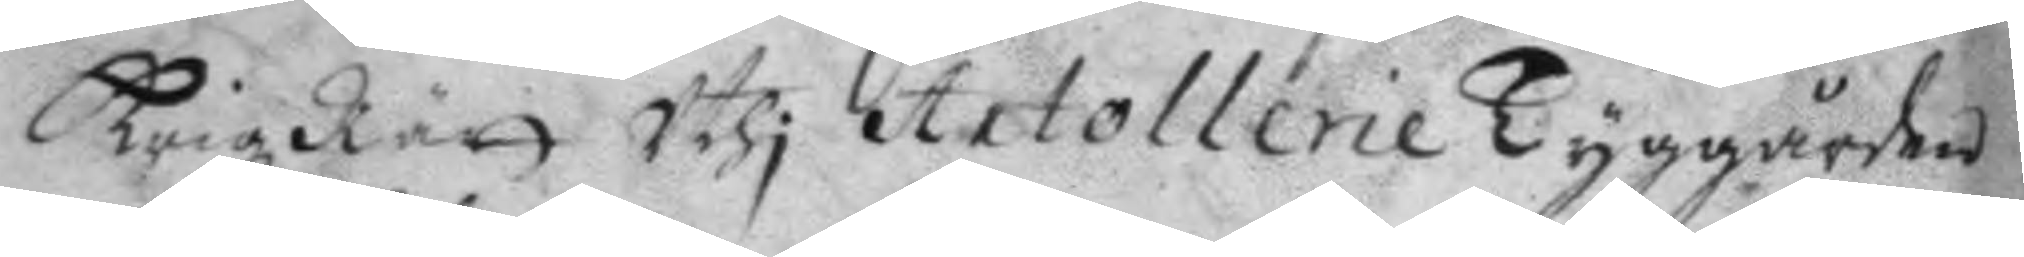Krigz Rätt Uthi Artollerie Tyggården
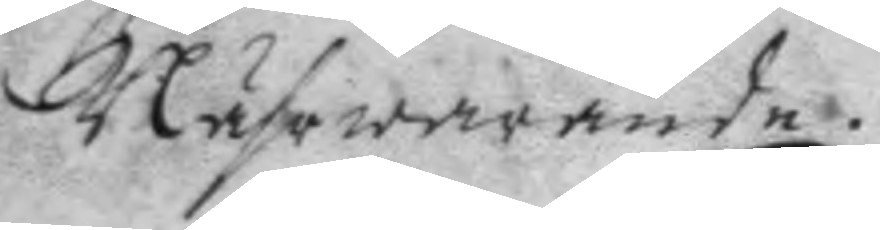Nährwarande.
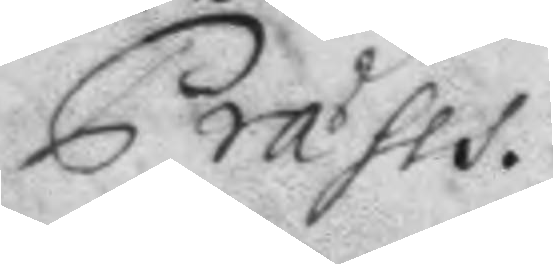Præses.
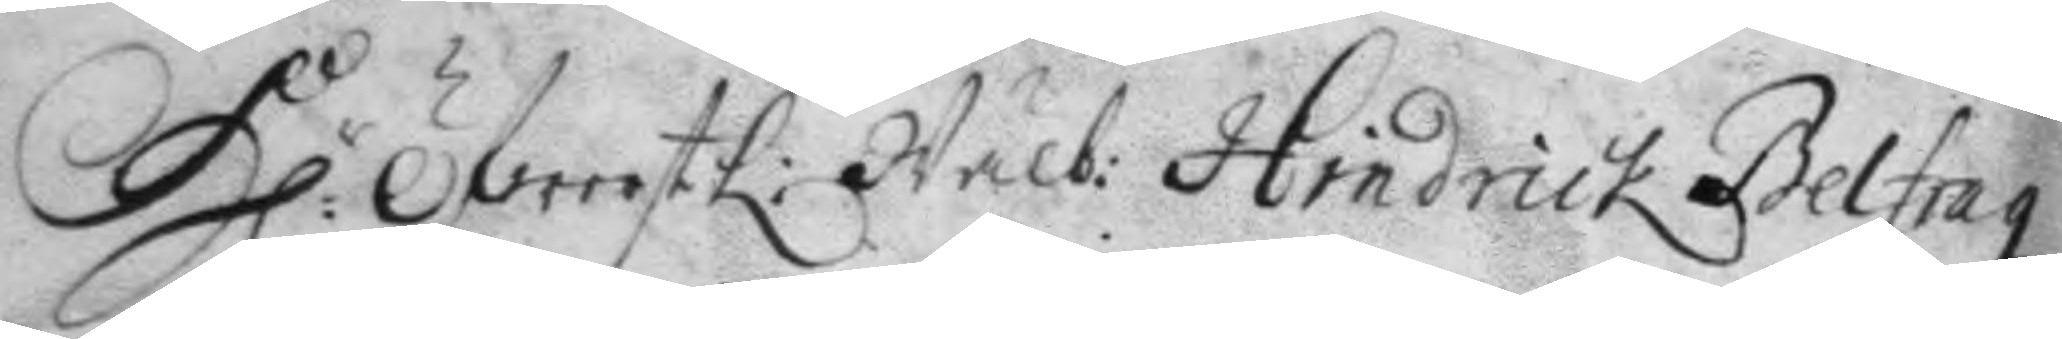H:r ÖfwersteL: Wälb: Hindrick Belfragz
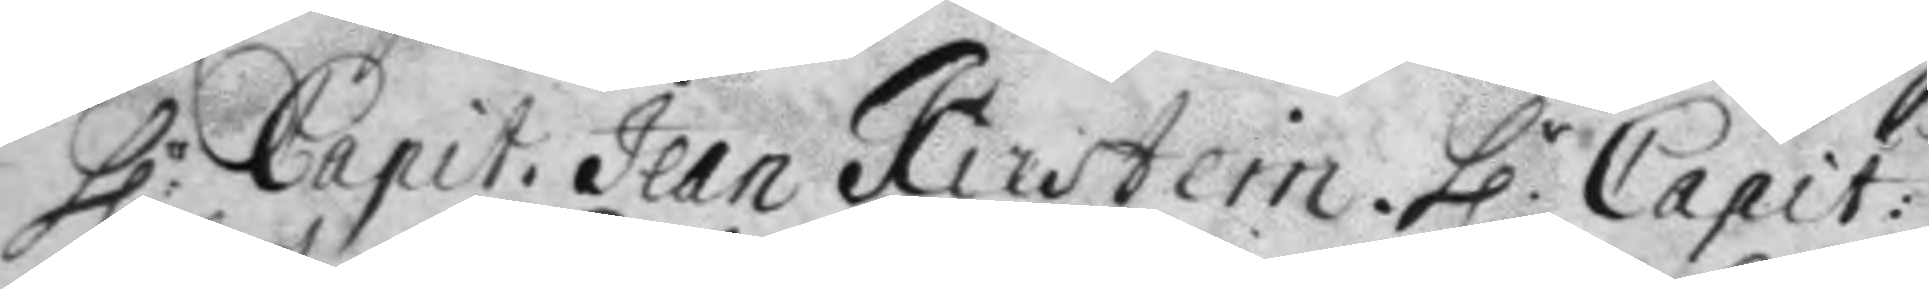h:r Capit. Jean Kirstein. h.r Capit:
